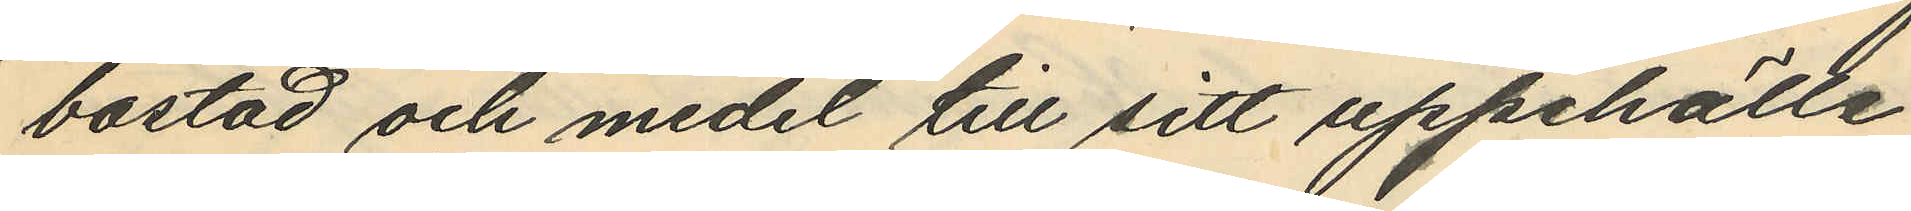bostad och medel till sitt uppehälle
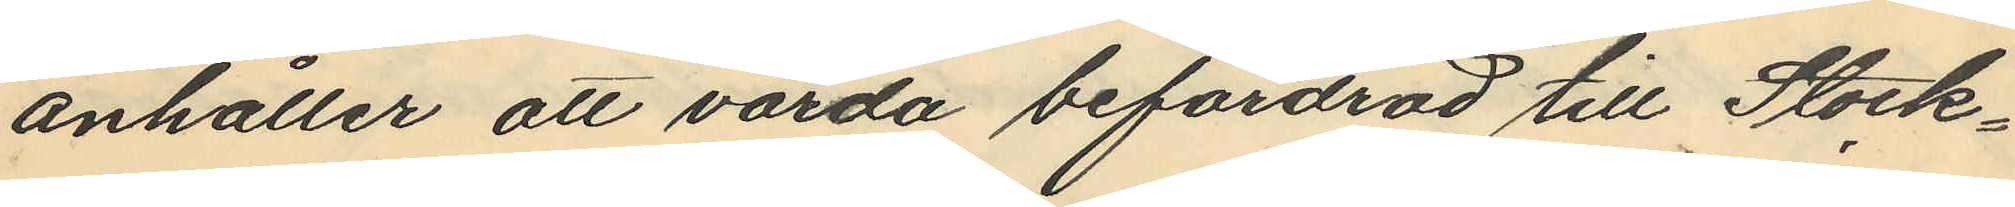anhåller att varda befordrad till Stock¬
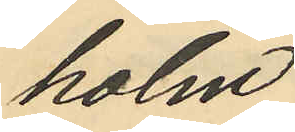holm.
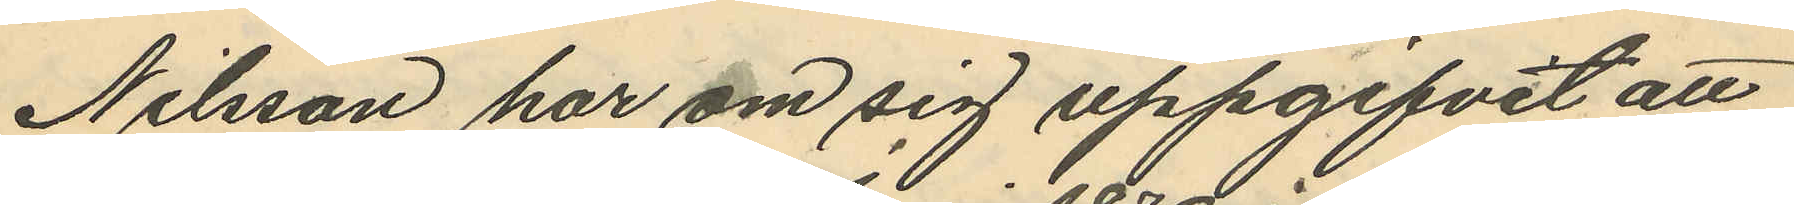Nilsson har om sig uppgifvit att
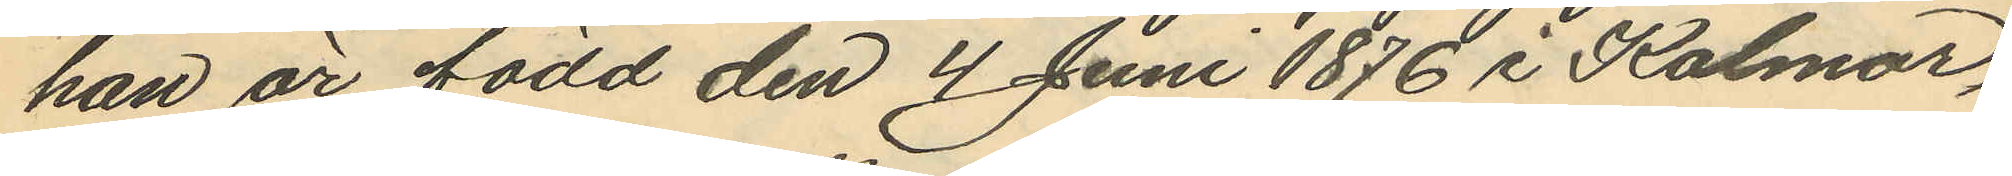han är född den 4 Juni 1876 i Kalmar,
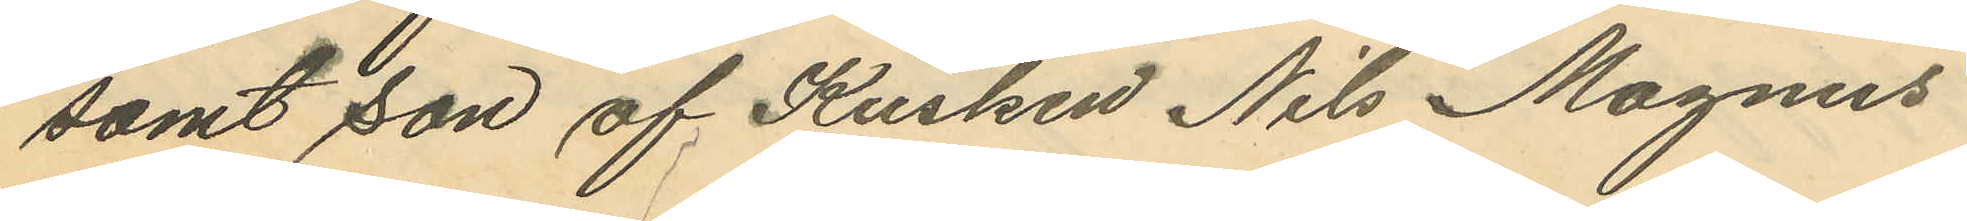samt son af Kusken Nils Magnus
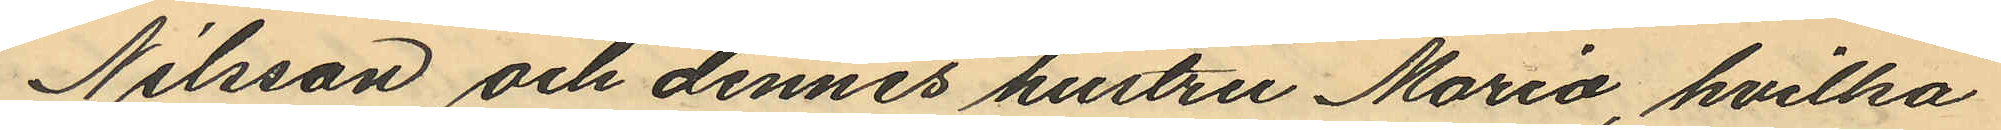Nilsson och dennes hustru Maria, hvilka
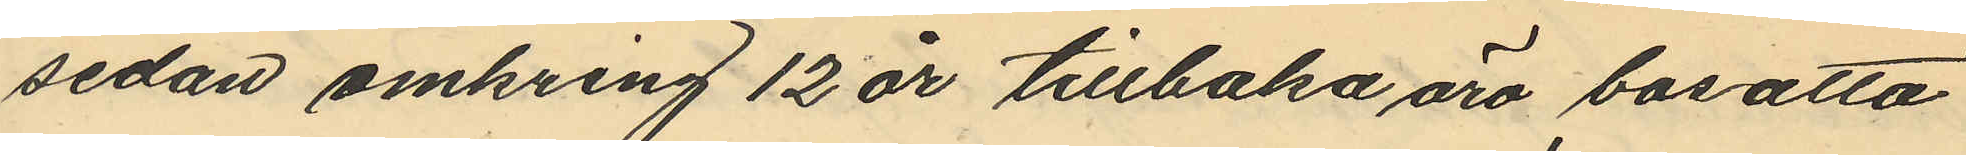sedan omkring 12 år tillbaka äro bosatta
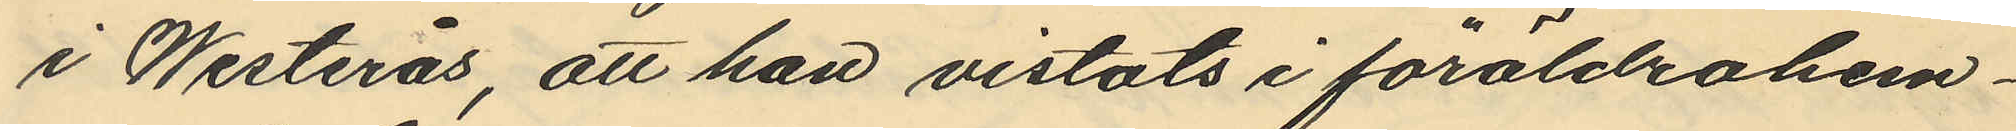i Westerås, att han vistats i föräldrahem¬
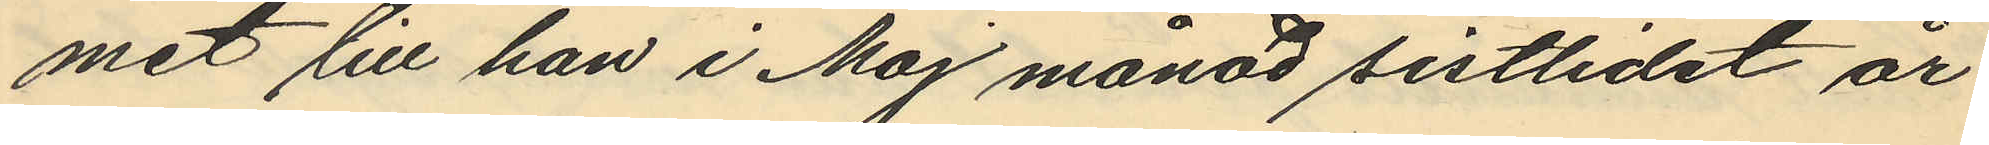met till han i Maj månad sistlidet år
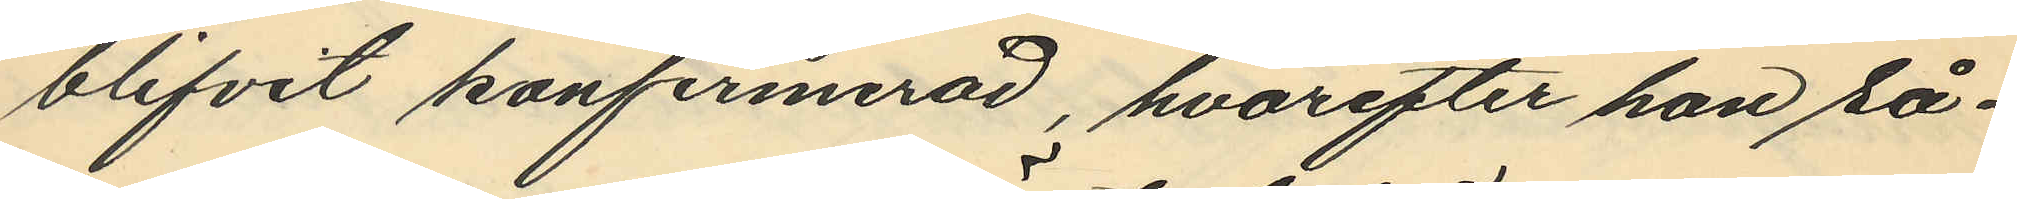blifvit konfirmerad, hvarefter han så¬
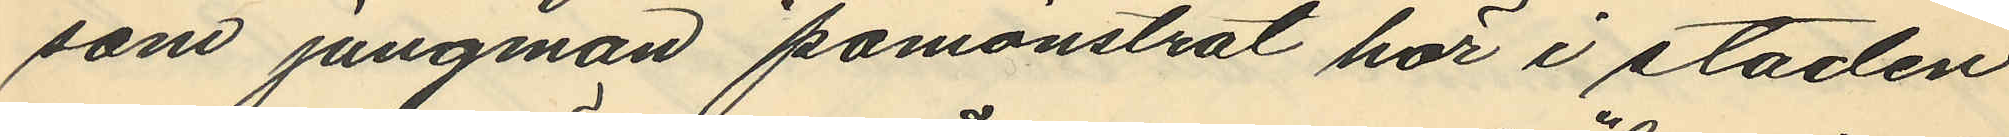som jungman påmönstrat här i staden
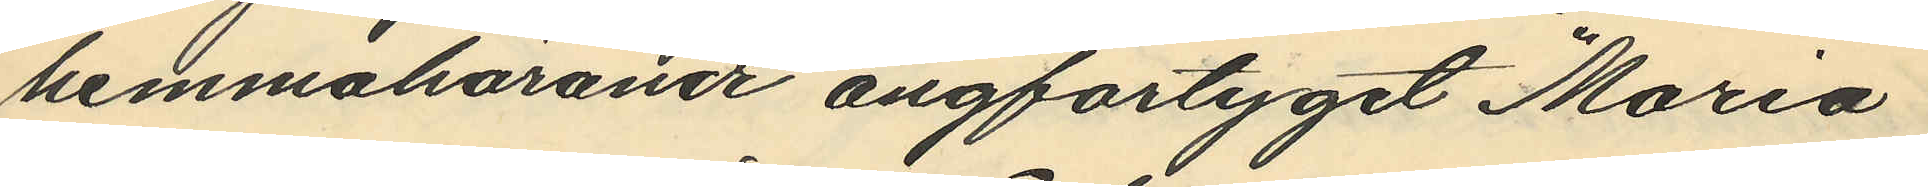hemmaharande ångfartyget "Maria",
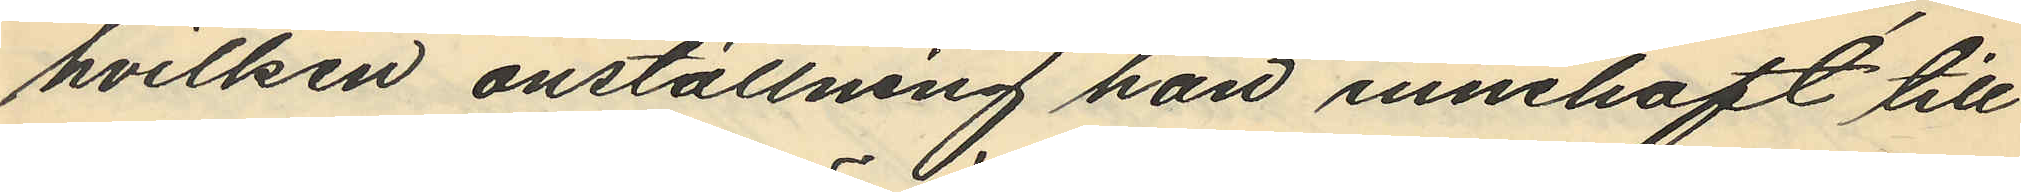hvilken anställning han innehaft till
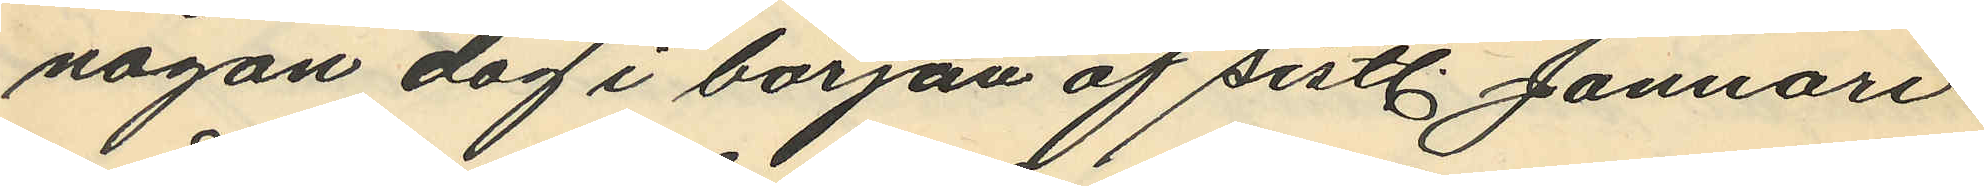någon dag i början af sistl. Januari
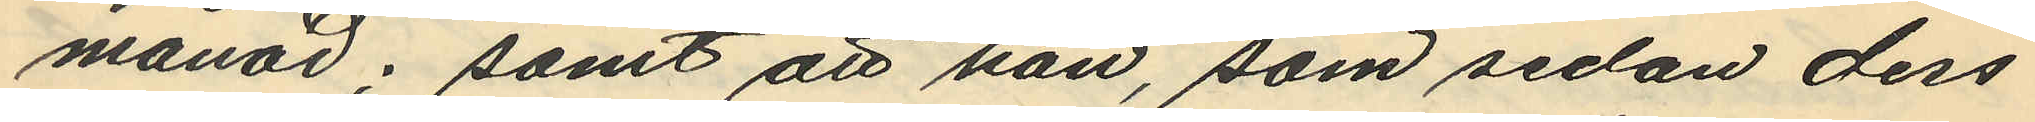månad; samt att han, som sedan dess
